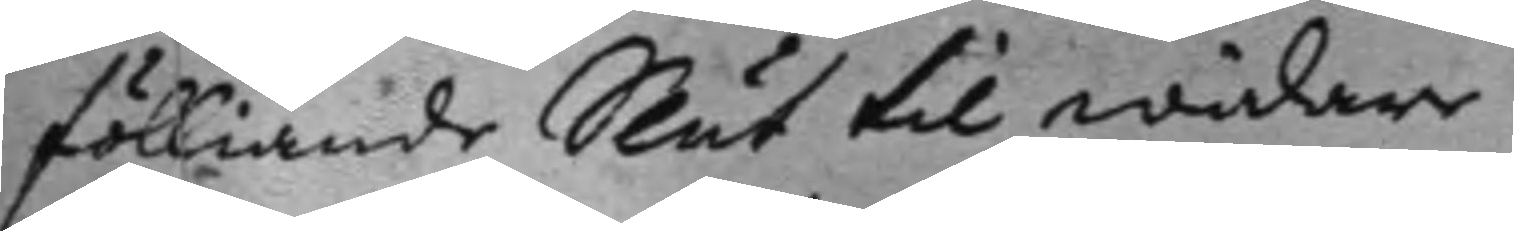fölliande Slut til widare.
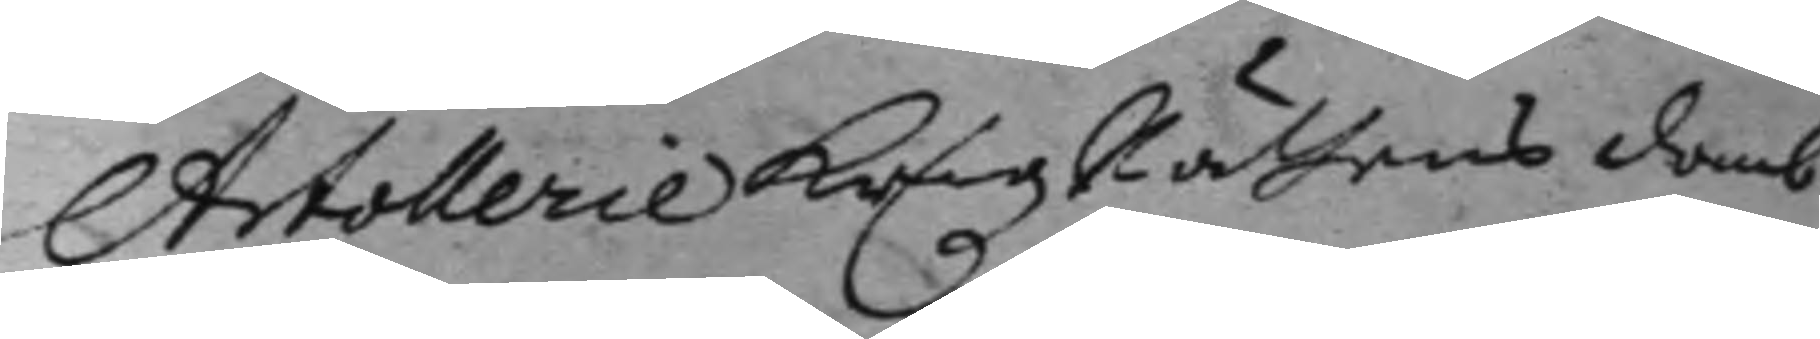ArtollerieKrigzRättens domb
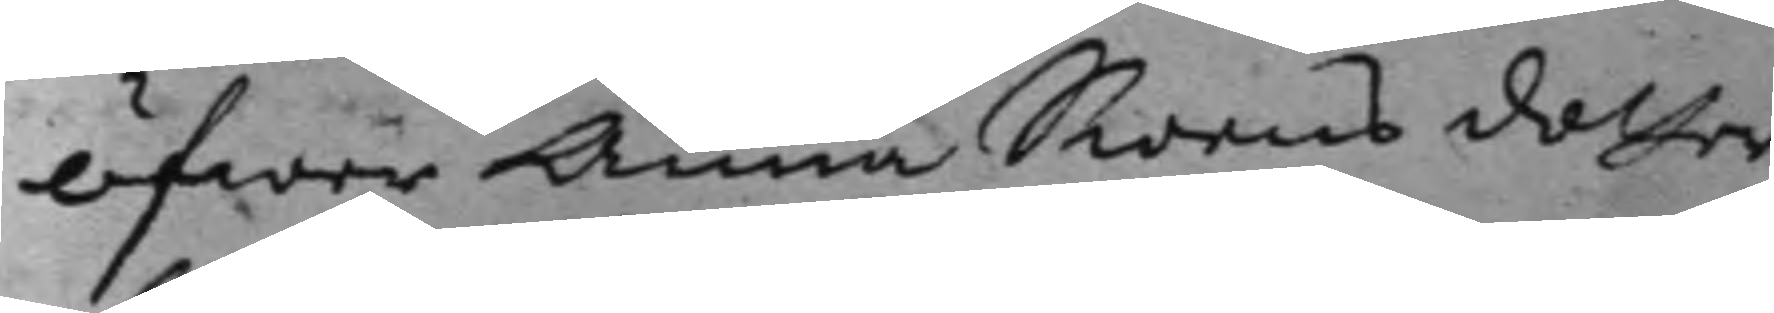öfwer Anna Swens dotter,
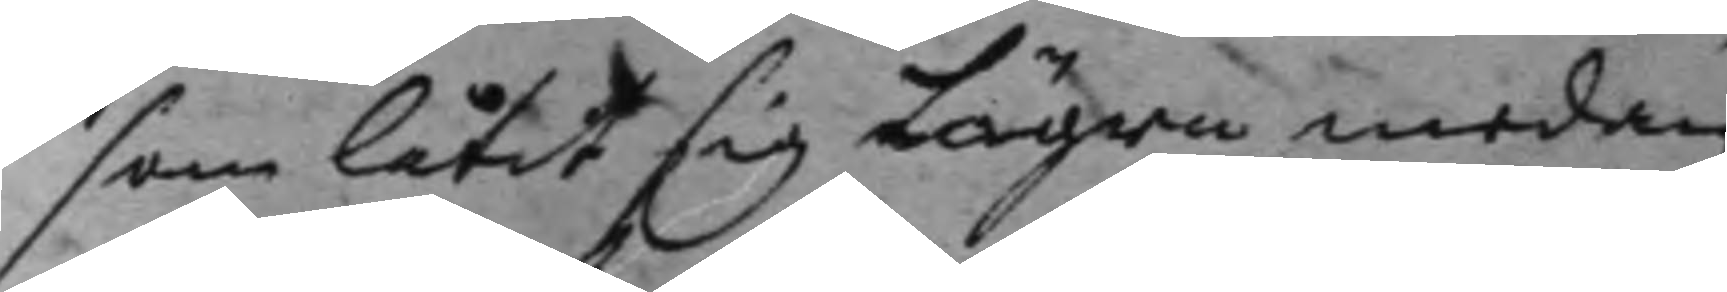som låtit sig Lägra medan
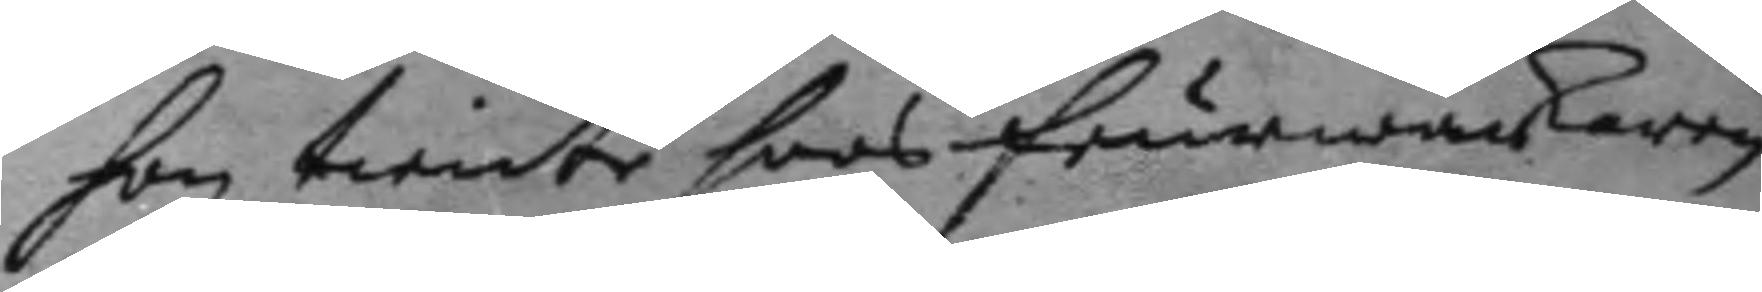hon tiente hoos feurwärkaren
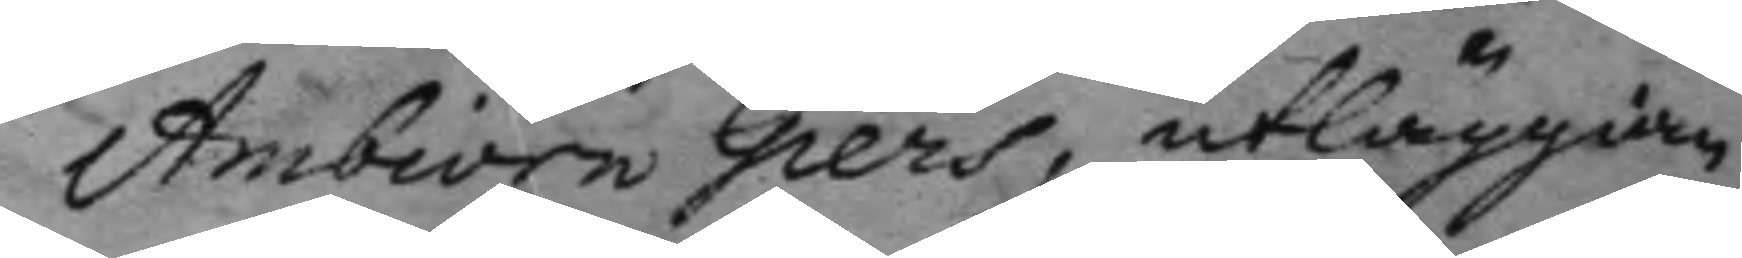Ambiörn Giers, utläggian¬
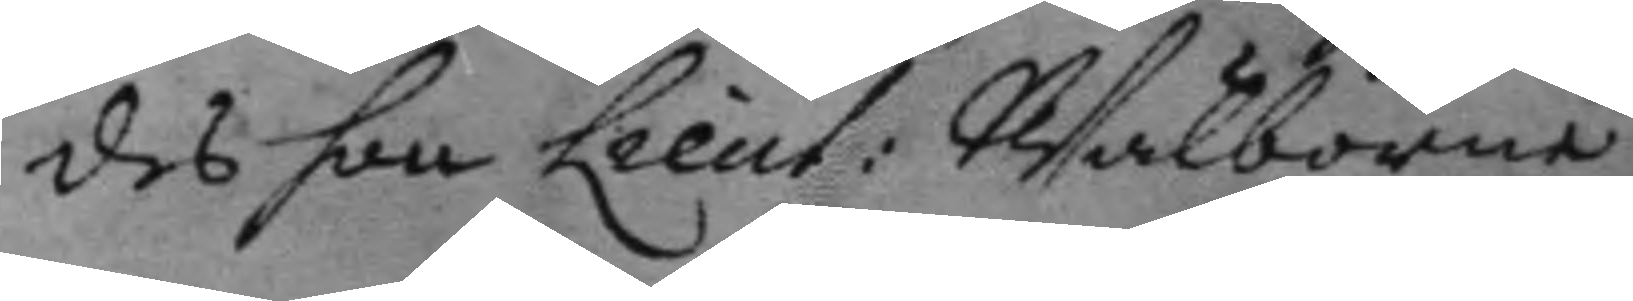des hon Lieut: Wälborne
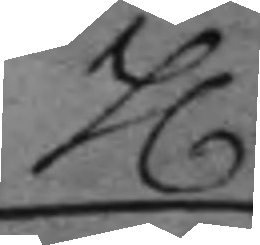h.
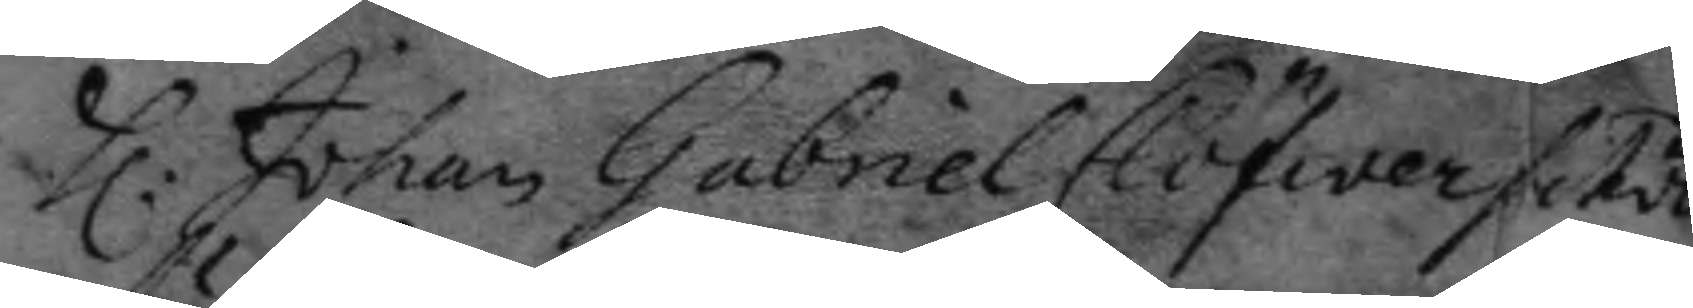h: Johan Gabriel Clöfwerschä
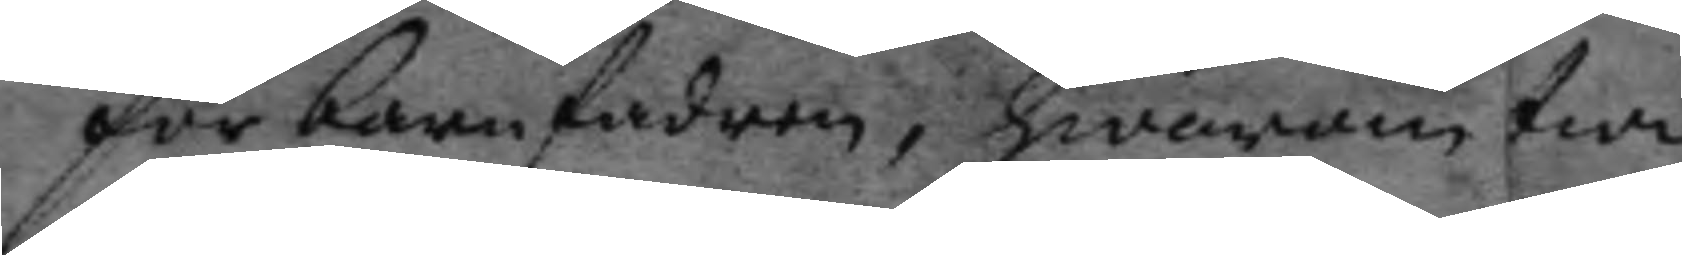för barnfadren, hwarom twi¬
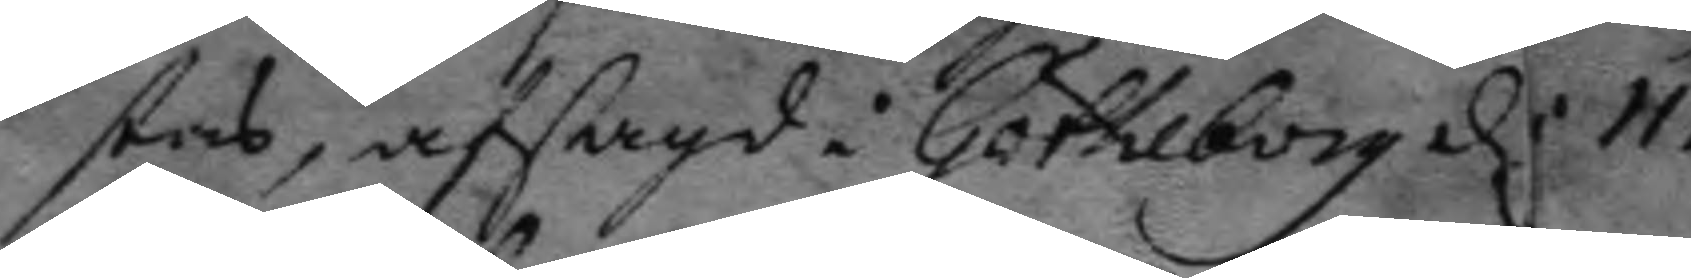stas, afsagd: Götheborg d: 11.
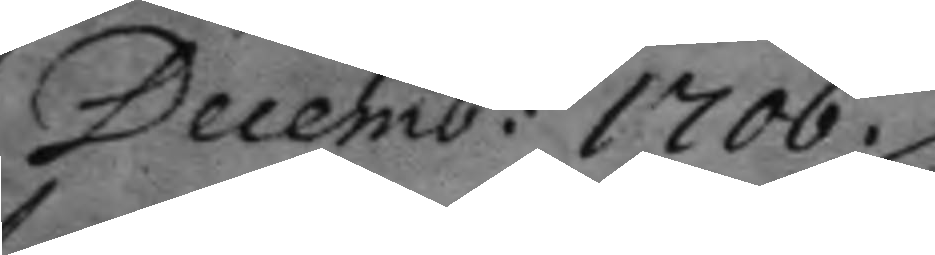Decemb: 1706.
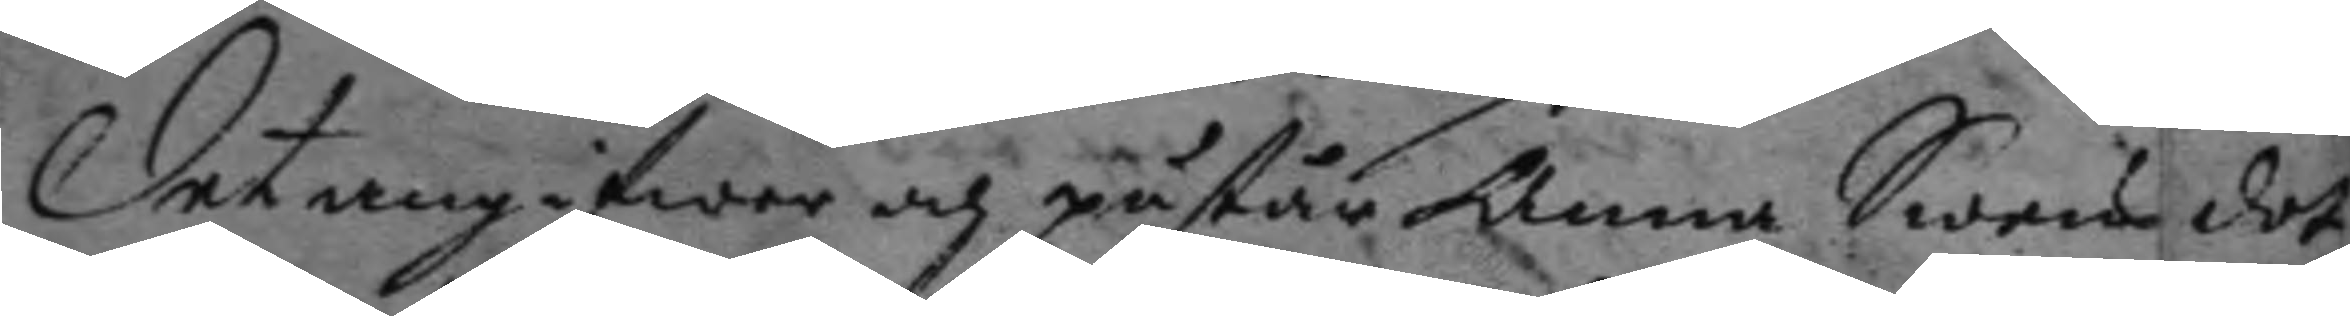Det angifwer och påstår Anna Swens dot¬
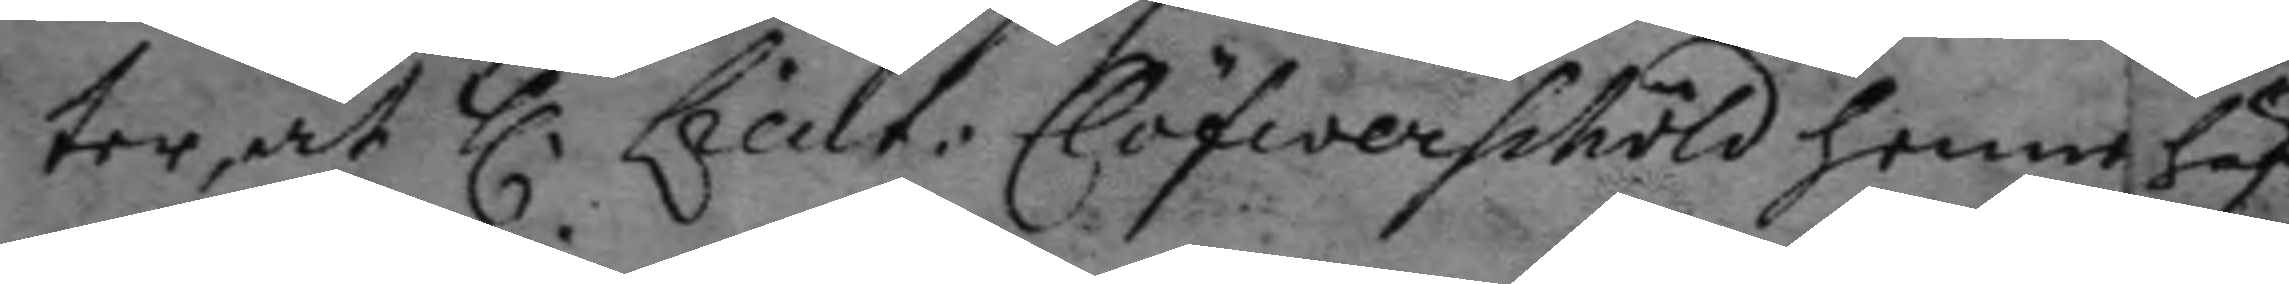ter, at h. Lieut: Clöfwerschöld henne häf¬
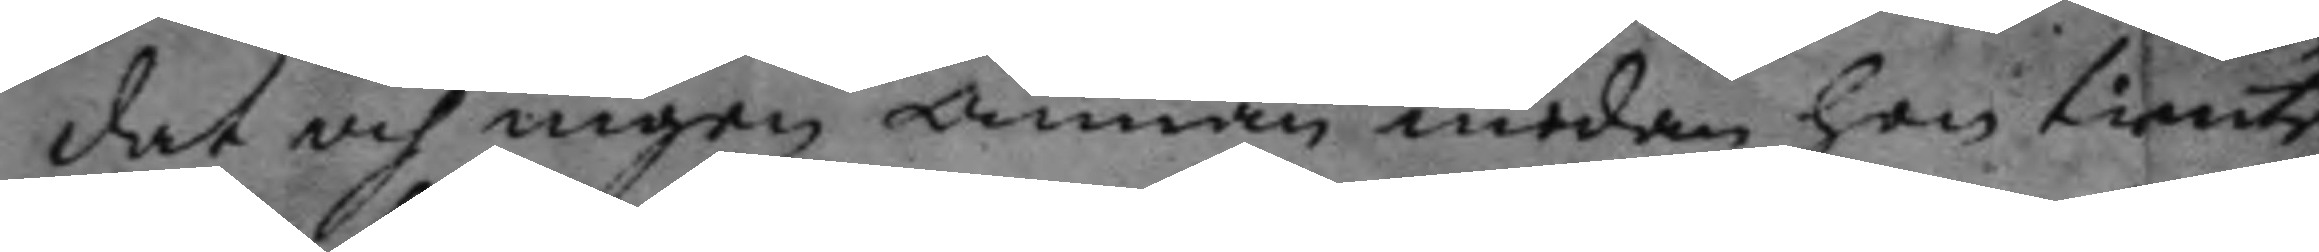dat och ingen annan medan hon tiente
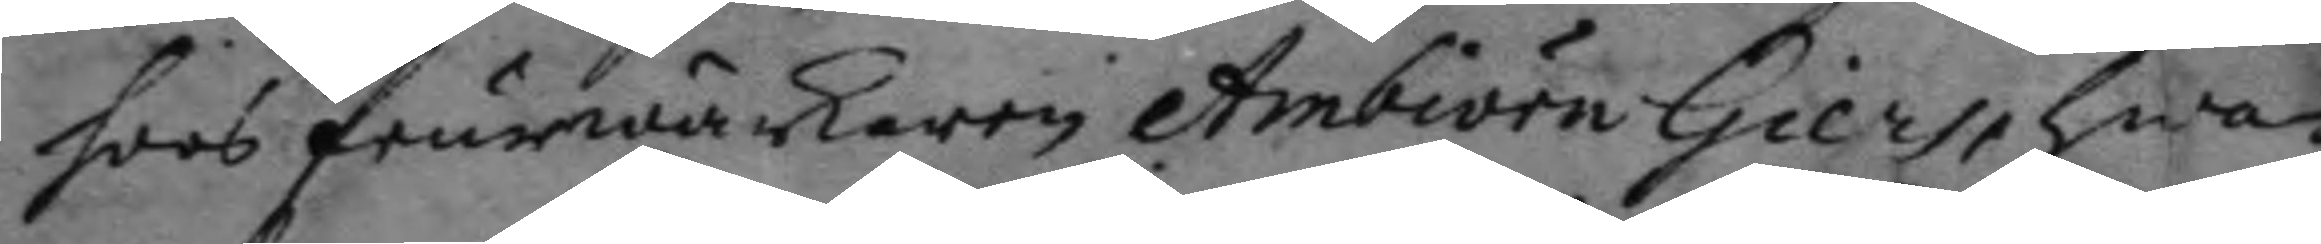hoos feurwärkaren Ambiörn Giers, hwa¬
